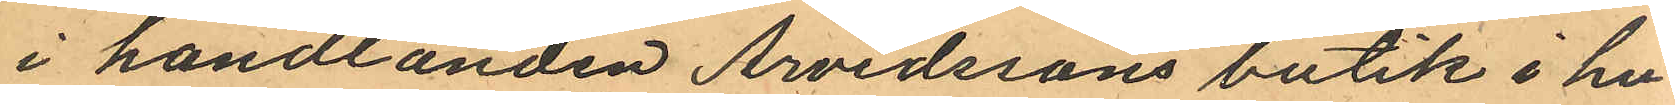i handlanden Arvidssons butik i hu¬
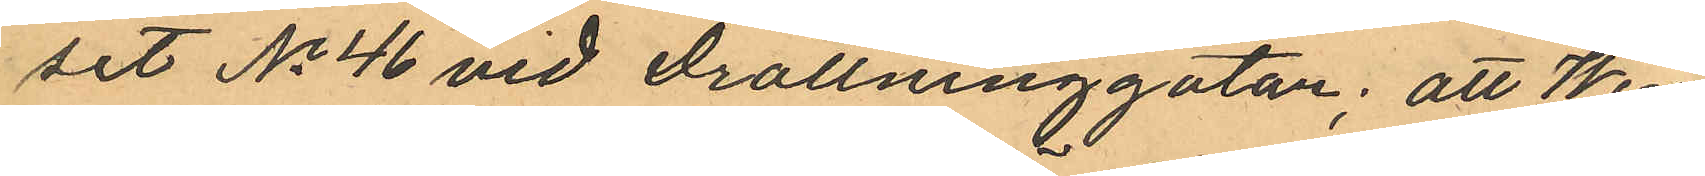set No 46 vid Drottninggatan; att Wen¬
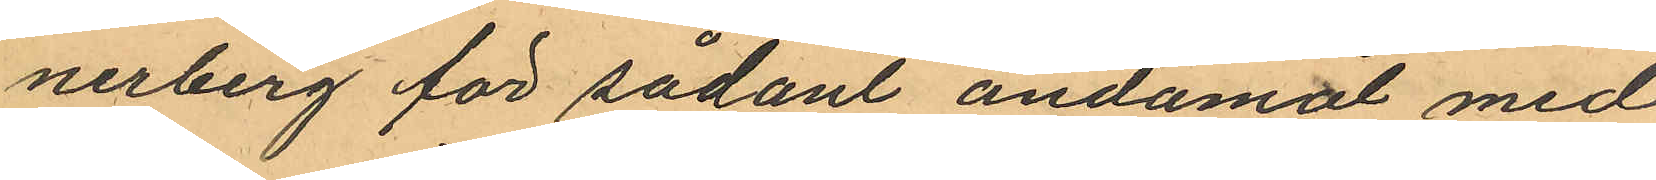nerberg för sådant ändamål med
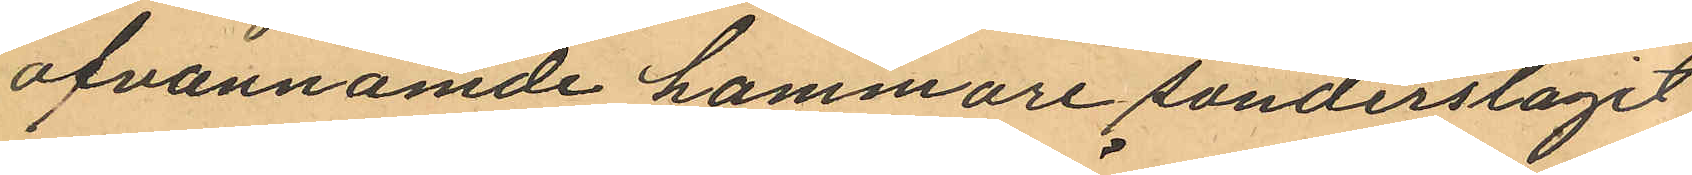ofvannämde hammare sönderslagit
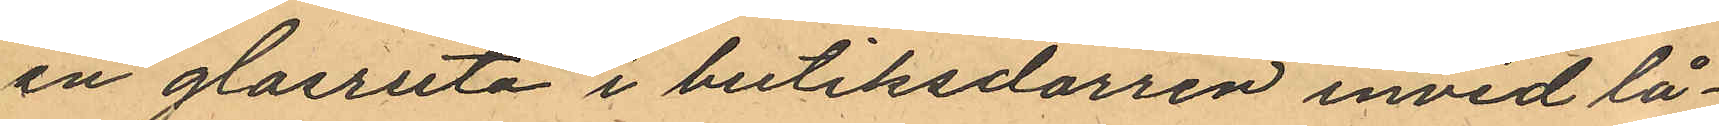en glasruta i butiksdörren invid lå¬
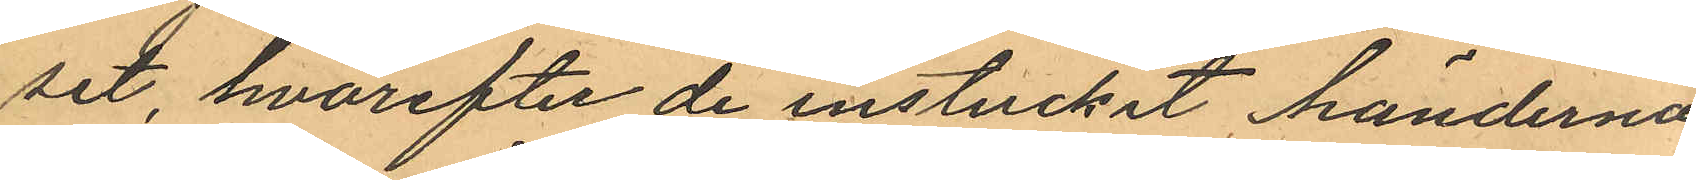set, hvarefter de instuckit händerna
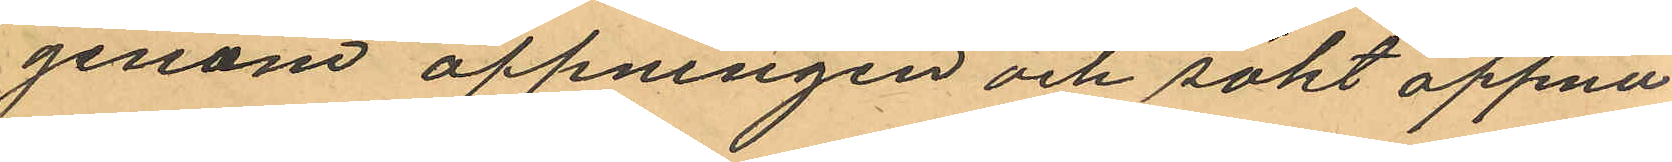genom öppningen och sökt öppna
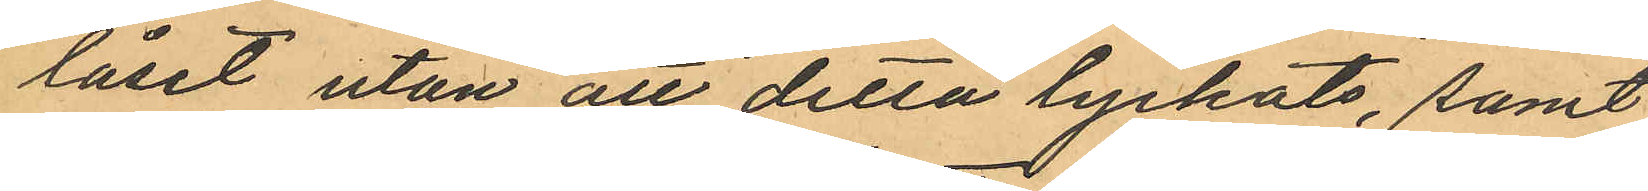låset utan att detta lyckats, samt
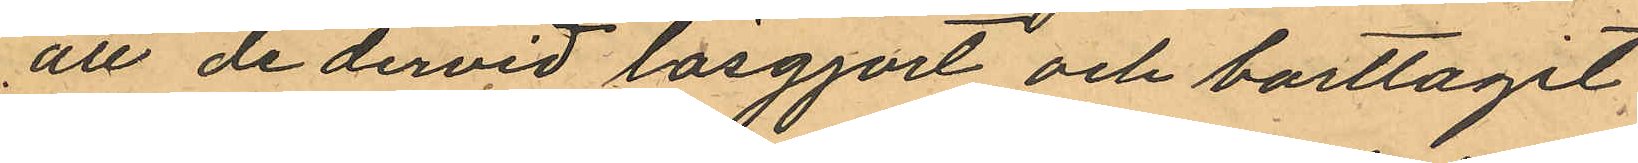att de dervid lösgjort och borttagit,
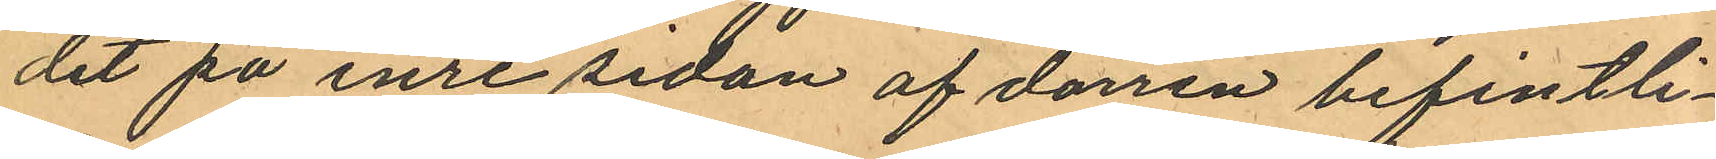det på inre sidan af dörren befintli¬
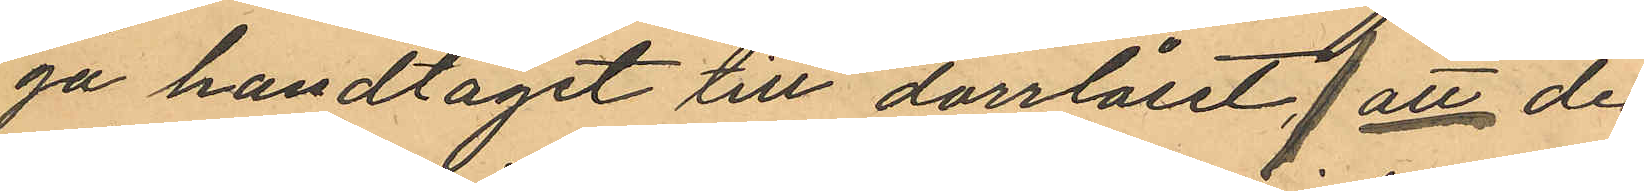ga handtaget till dörrlåset; att de
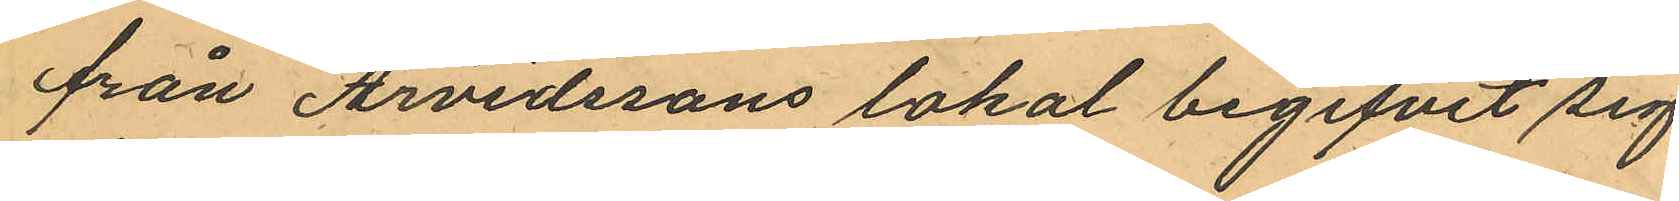från Arvidssons lokal begifvit sig
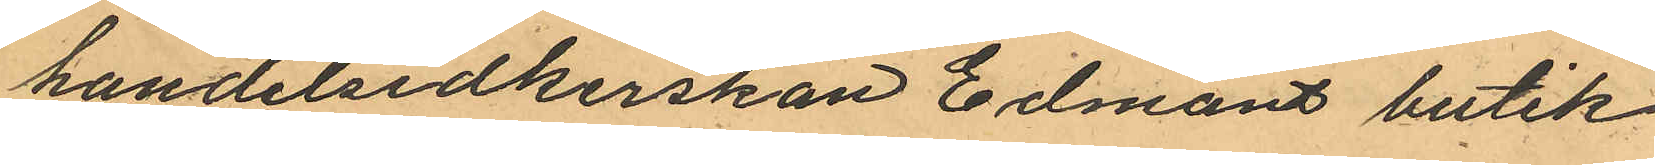handelsidkerskan Edmans butik
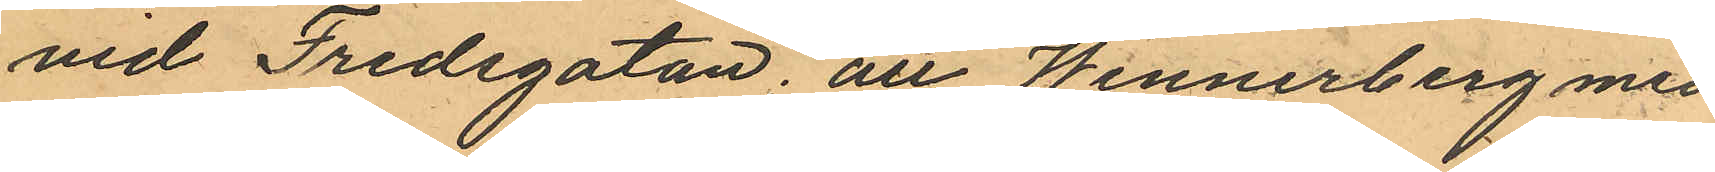vid Fredsgatan; att Wennerberg med
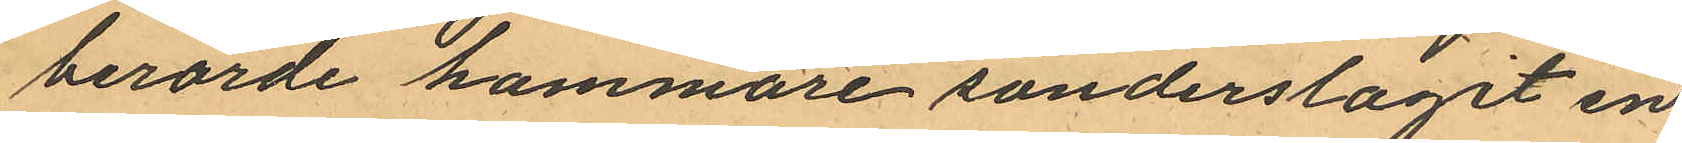berörde hammare sönderslagit en
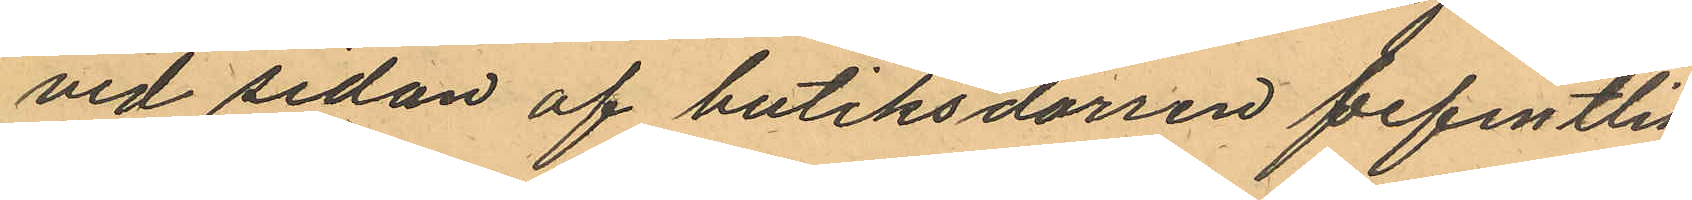vid sedan af butiksdörren befintlig
